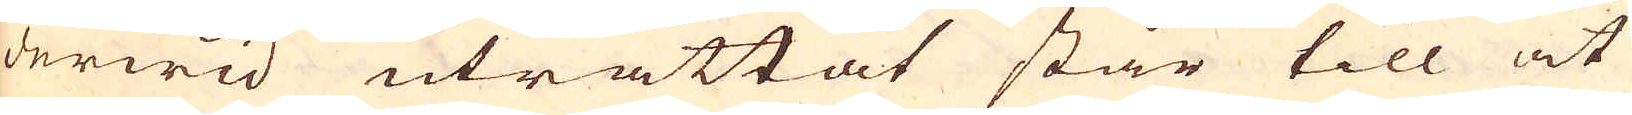derwid uträttat står till at
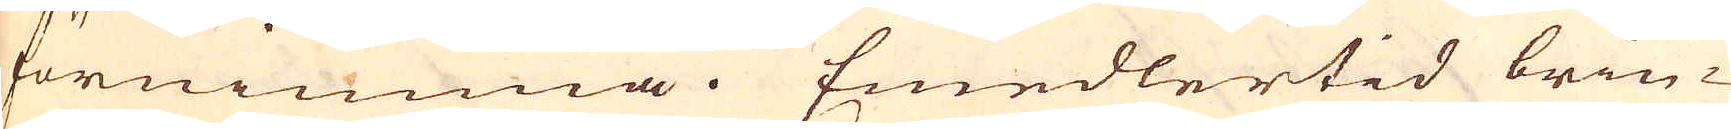förnimma. Emedlertid brin-
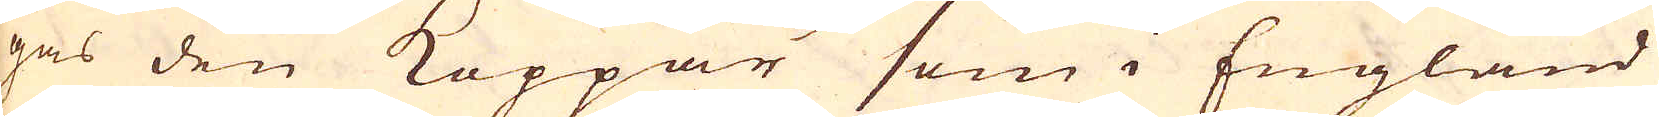gas den Koppar som i England
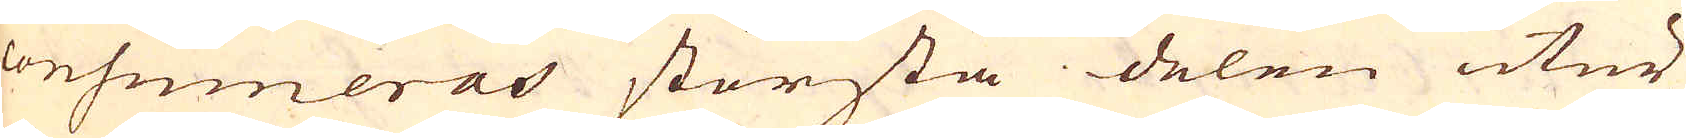consumeras största delen utur
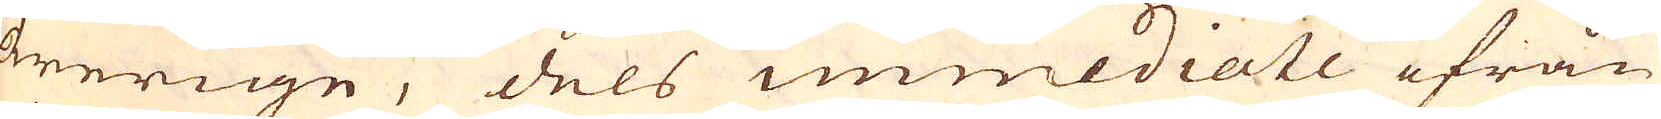Swerige, dels immediate ifrån
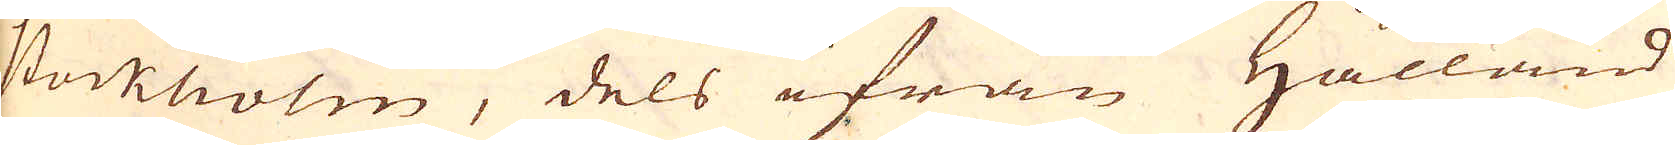Stockholm, dels ifrån Hålland
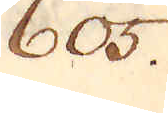605.
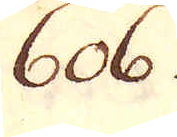606
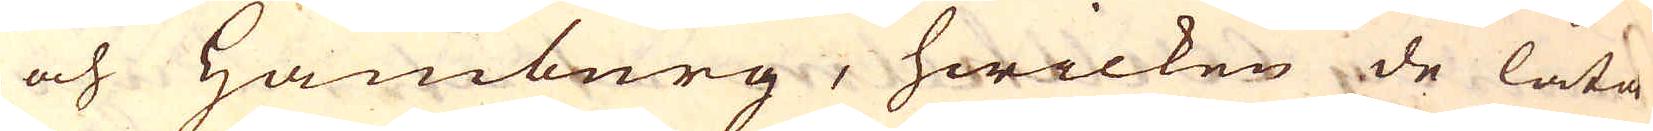och Hamburg, hwilken de låta
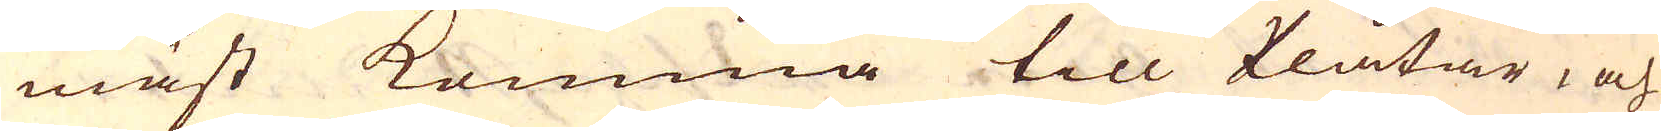mäst komma till Plåtar, och
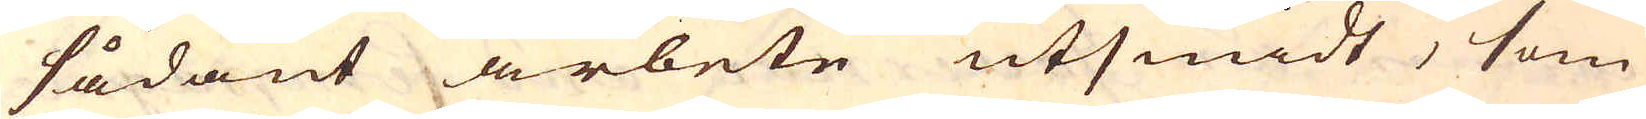sådant arbete utsmidt, som
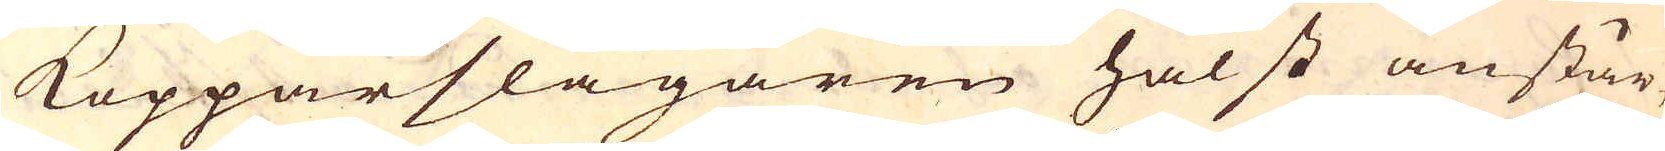Kopparslagaren hälst anstår,
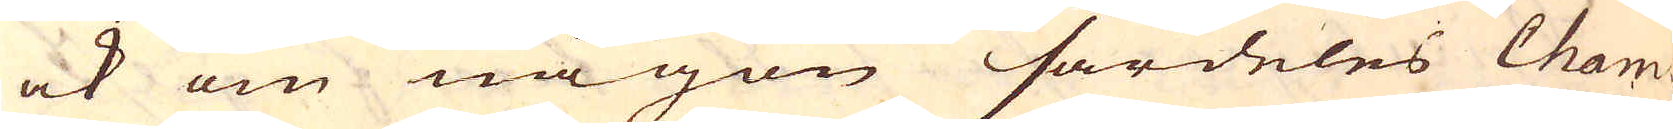ock om någon särdeles Cham-
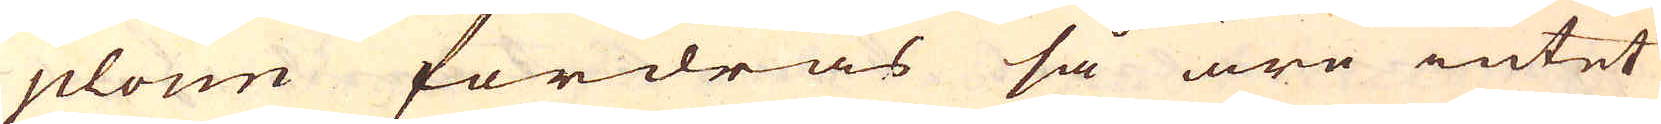plone fordras så äro intet
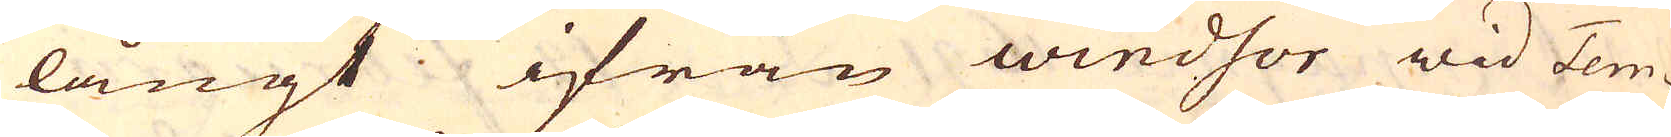långt ifrån windsor wid Tem-
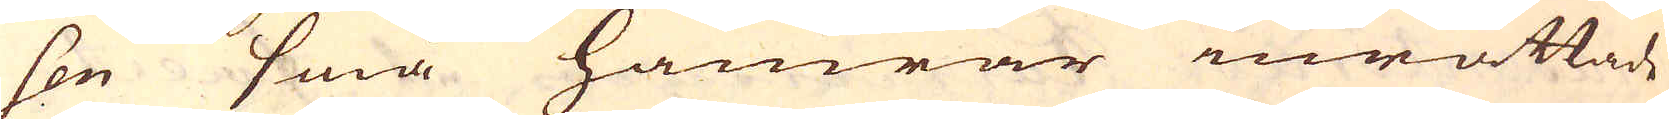sen små hamrar inrättade
